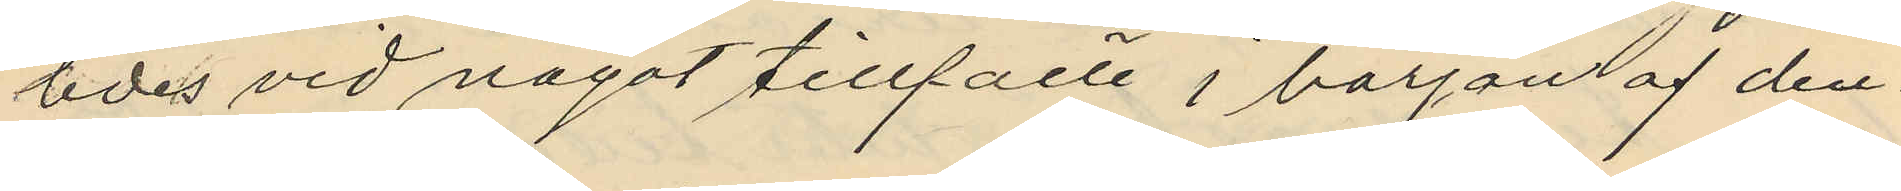ledes vid något tillfälle i början af den
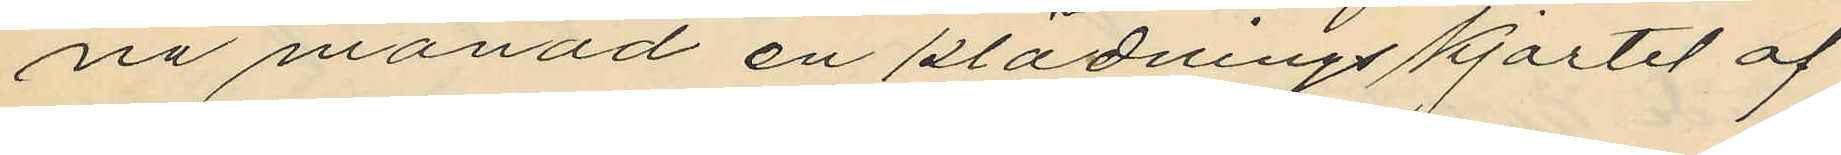na månad en klädningskjortel af
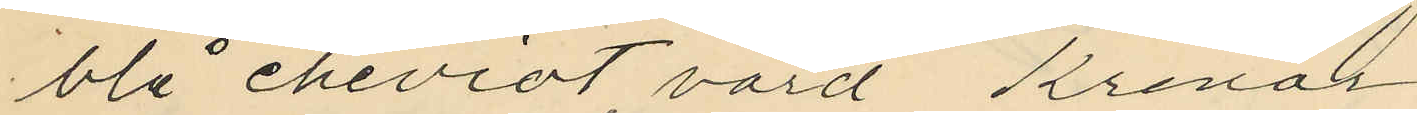blå cheviot, värd Kronor
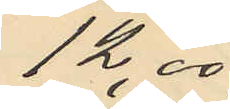12,00
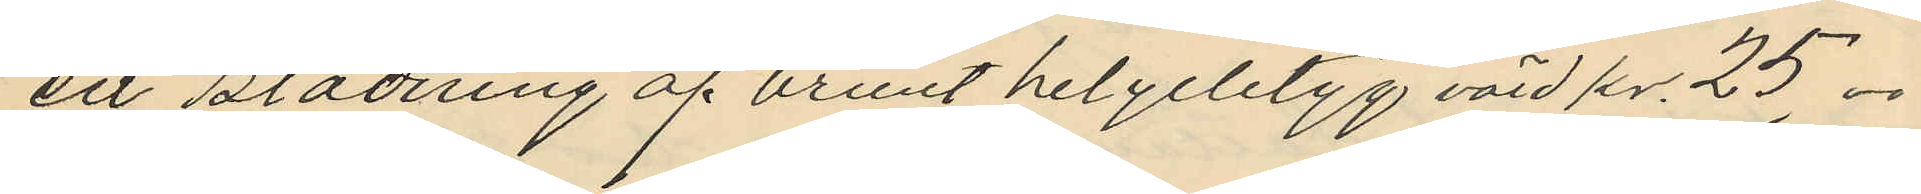en klädning af brunt helylletyg värd kr. 25.00
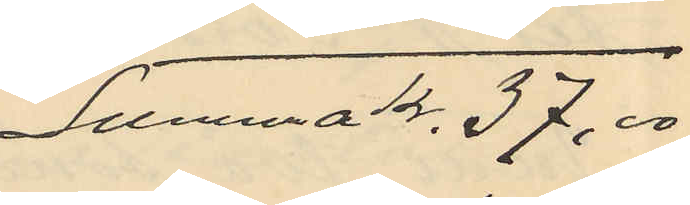Summa Kr. 37,00
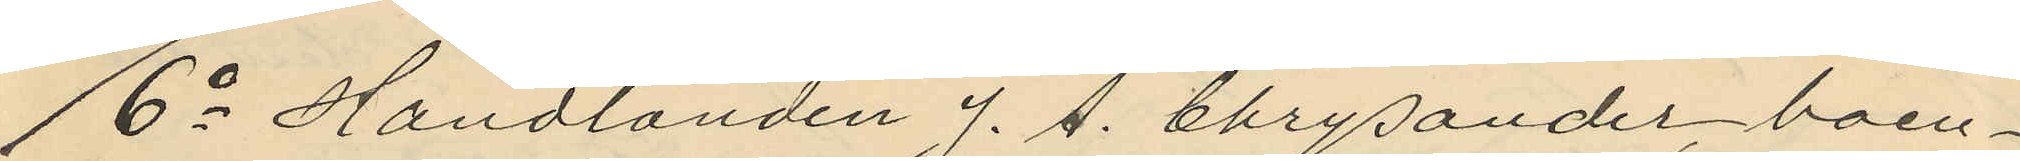6o Handlanden J. A. Chrysander, boen¬
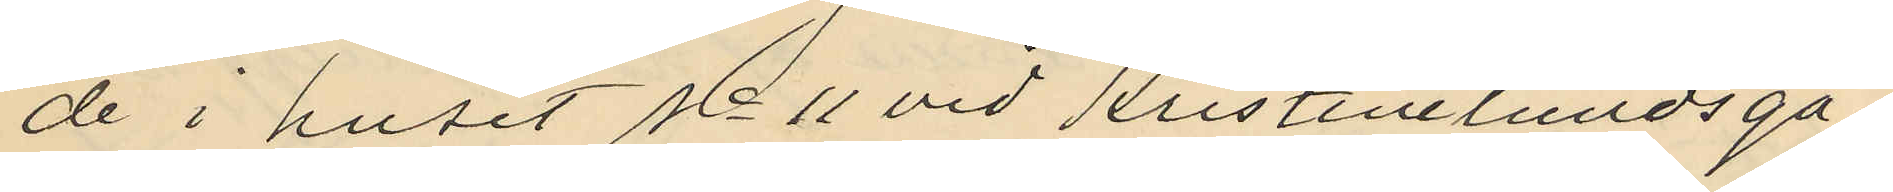de i huset No 11 vid Kristinelundsga¬
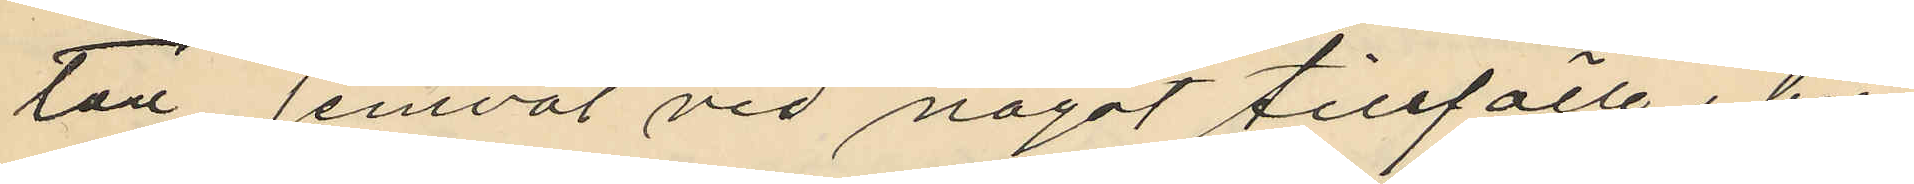tan jemväl vid något tillfälle i bör¬
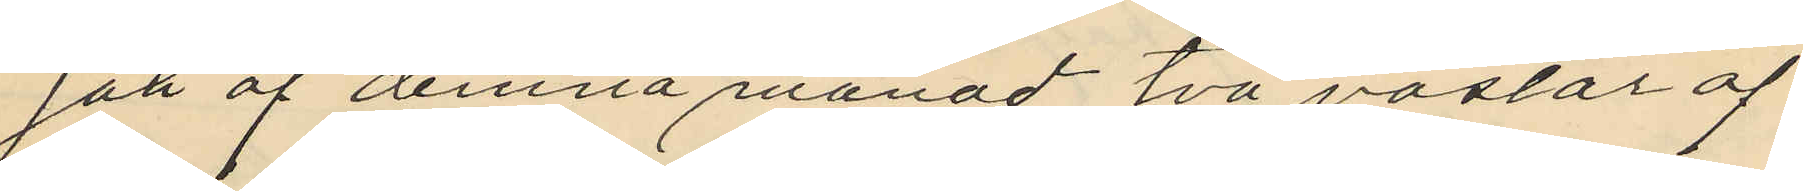jan af denna månad, två västar af
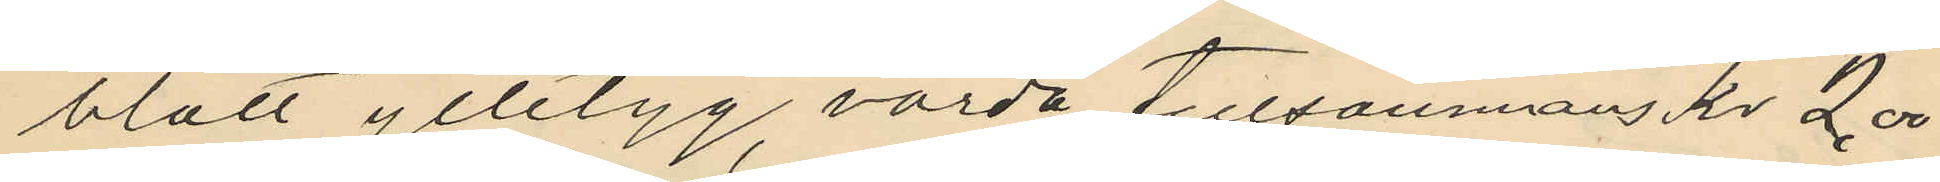blått ylletyg värda tillsammans kr 2,00
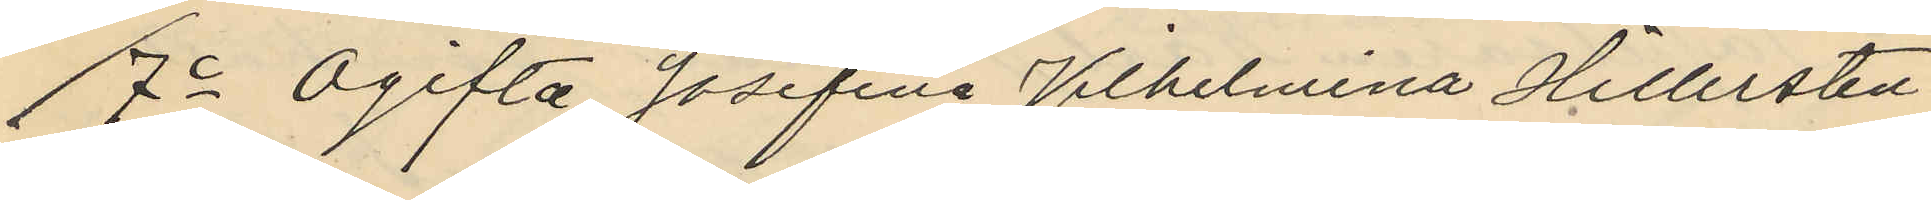7o Ogifta Josefina Vilhelmina Hillersten
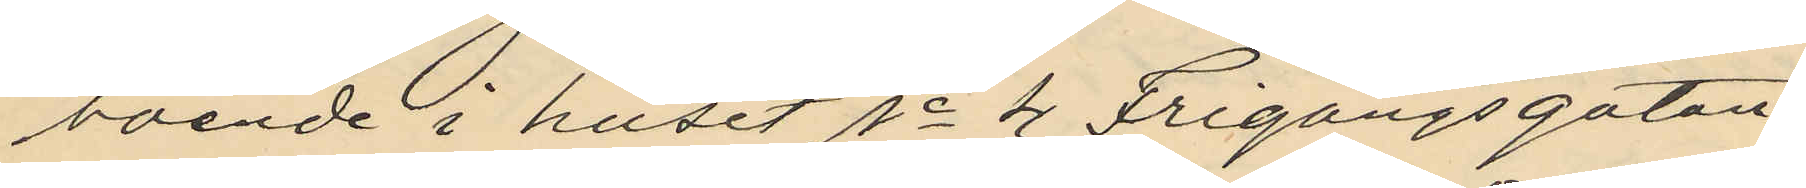boende i huset No 4 Frigångsgatan
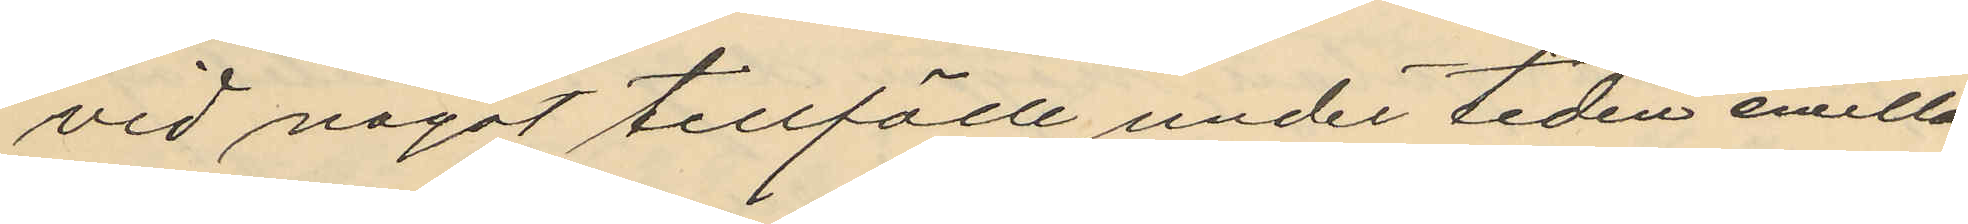vid något tillfälle under tiden emellan
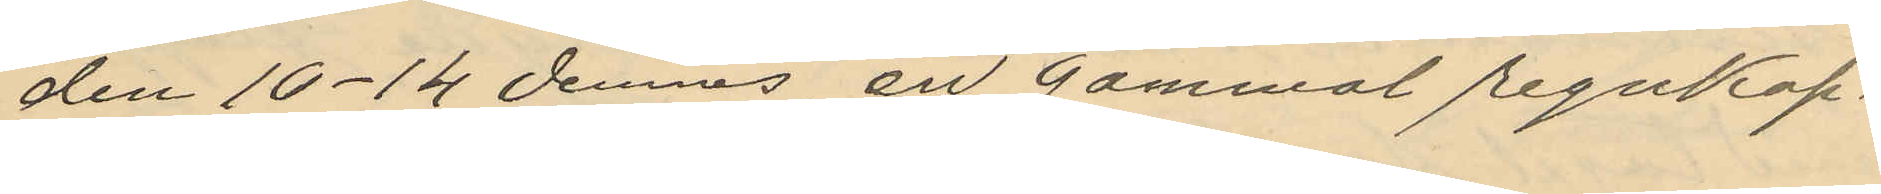den 10-14 dennes en gammal regnkap¬
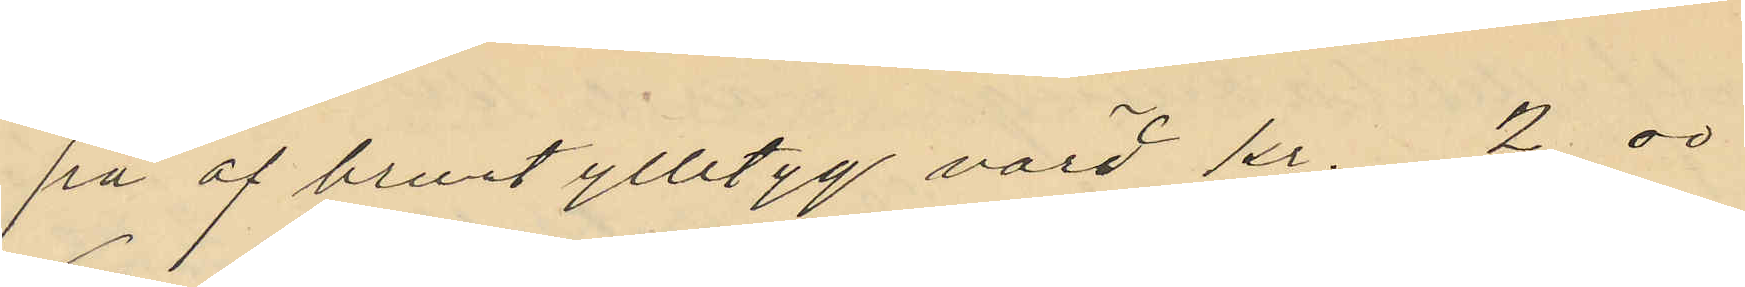pa af brunt ylletyg värd kr. 2.00
